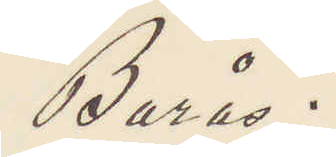Borås.
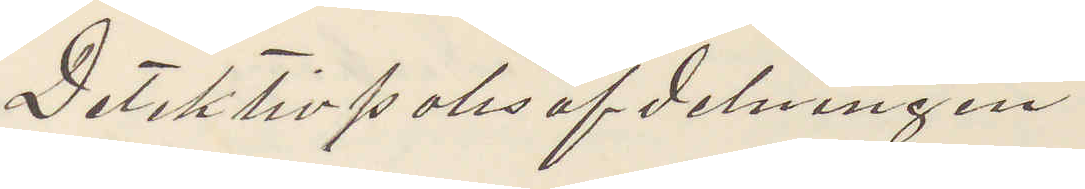Detektivpolisafdelningen
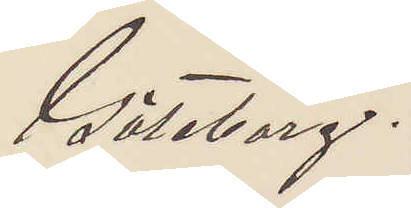Göteborg.
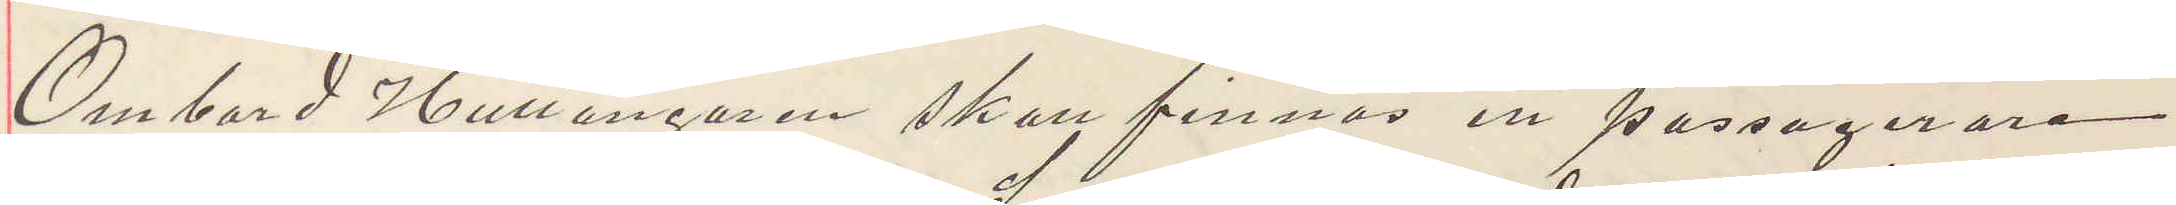Ombord Hullångaren skall finnas en passagerare
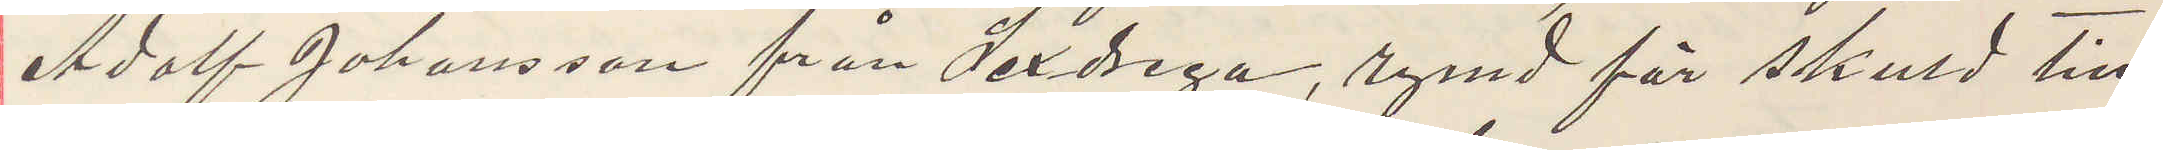Adolf Johansson från Sexdrega, rymd för skuld till
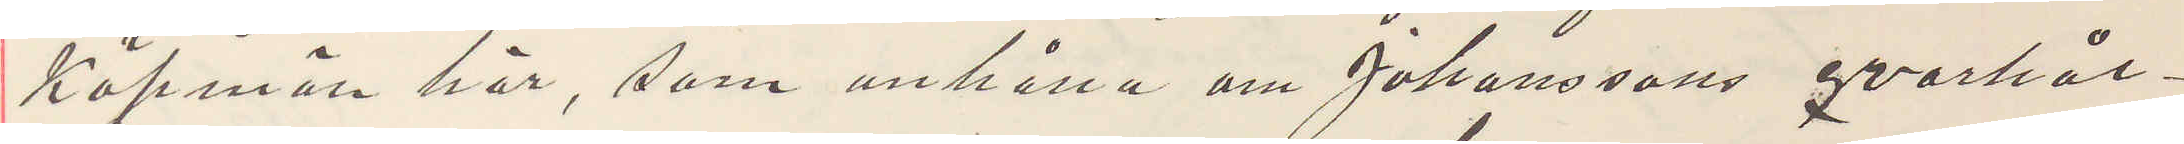Köpman här, som anhålla om Johanssons qvarhål¬
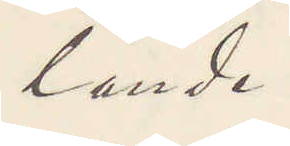lande.
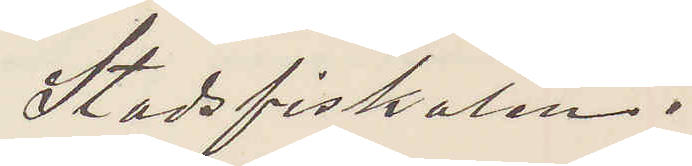Stadsfiskalen.
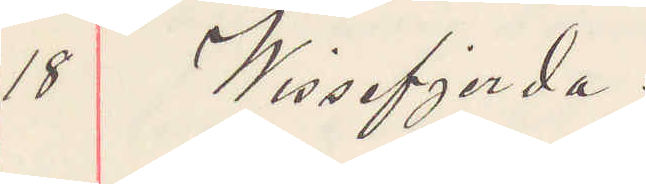18 Wissefjerda.
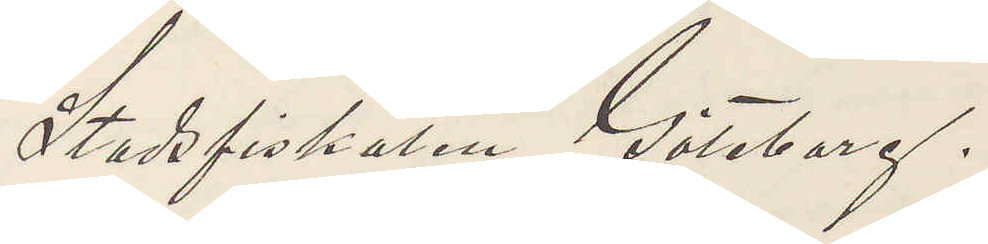Stadsfiskaren Göteborg.
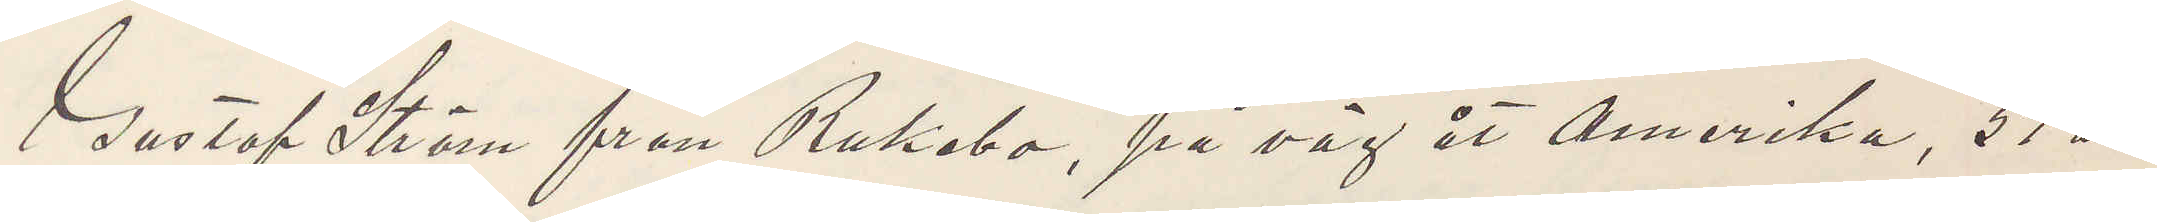Gustaf Ström från Rukebo, på väg åt Amerika, 51 år,
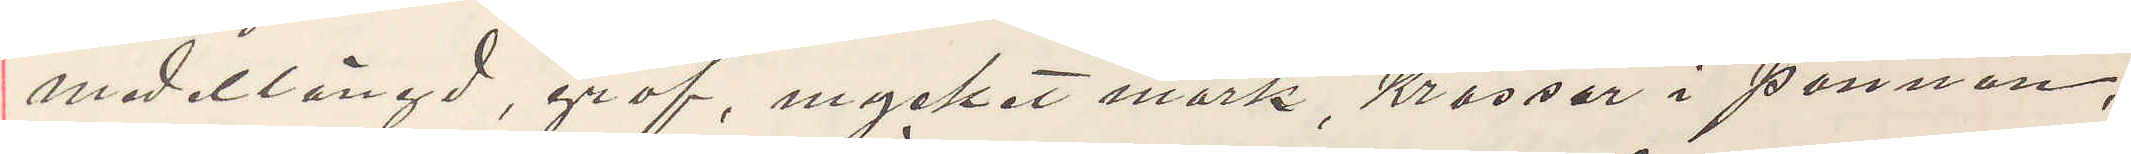medellängd, grof, mycket mörk, Krossår i pannan,
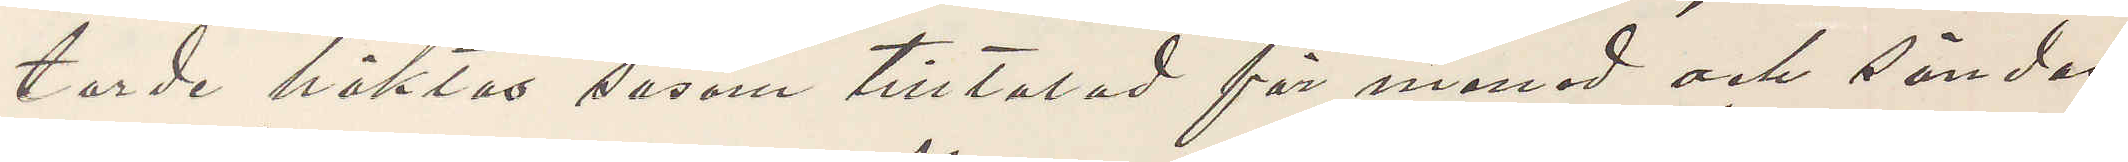torde häktas såsom tilltalad för mened och sändas
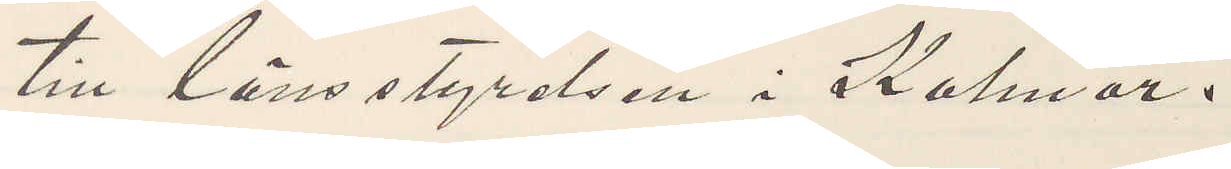till länsstyrelsen i Kalmar.
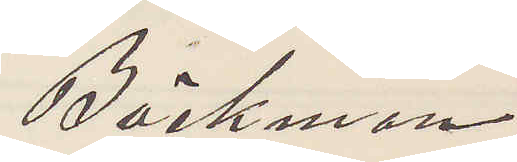Bäckman
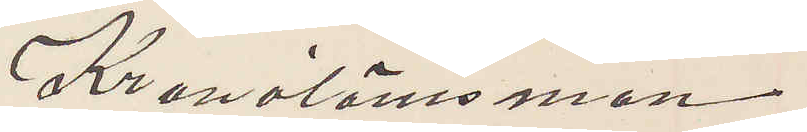Kronolänsman
